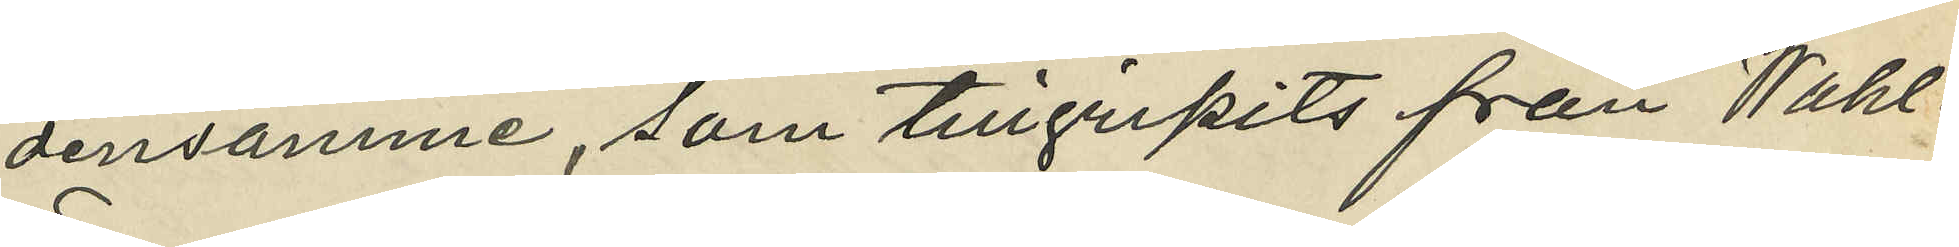densamme, som tillgripits från Wahl¬
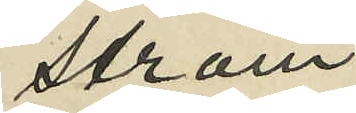ström;
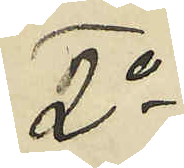2o
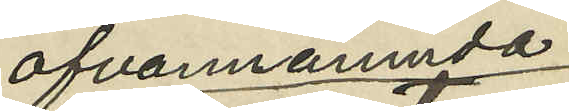ofvannämnda
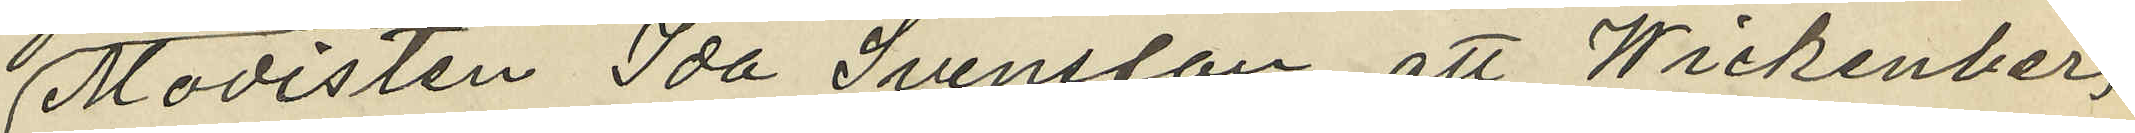Modisten Ida Svensson, att Wickenberg
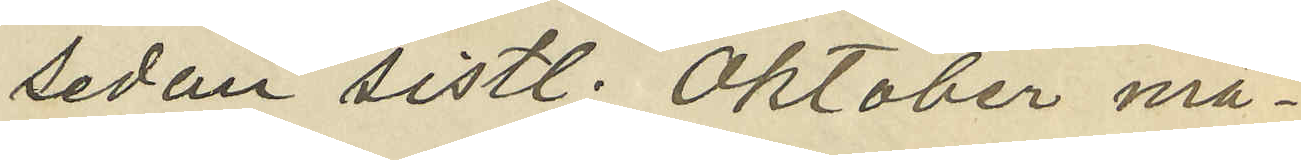sedan sistl. Oktober må¬
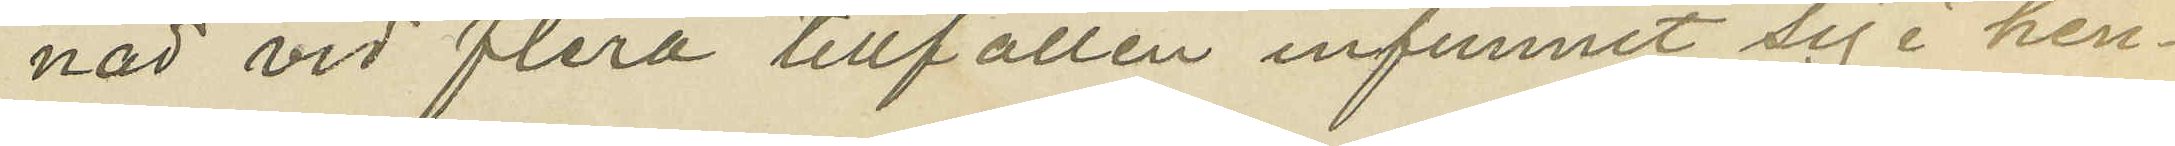nad vid flera tillfällen infunnit sig i hen¬
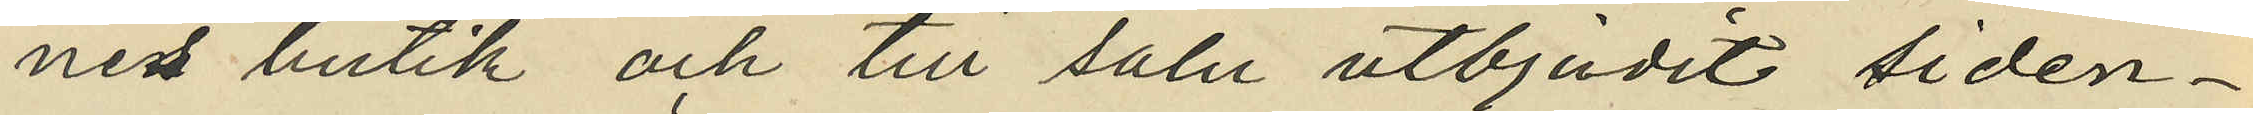nes butik och till salu utbjudit siden¬
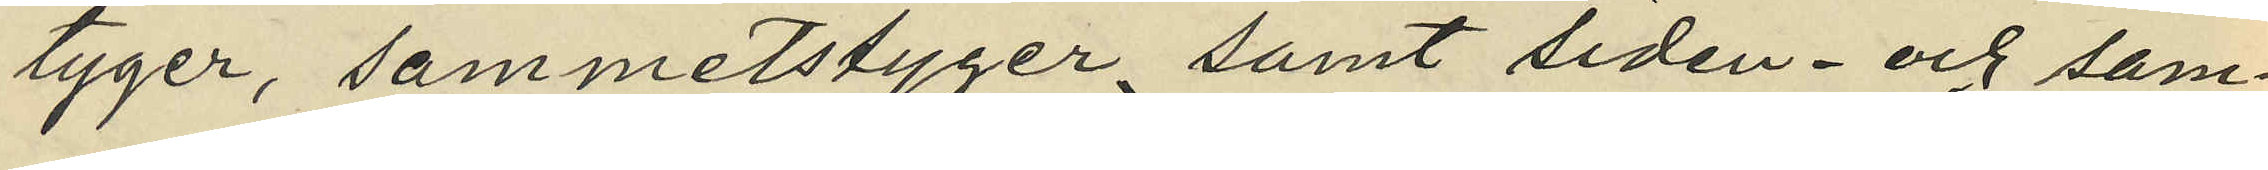tyger, sammetstyger samt siden- och sam¬
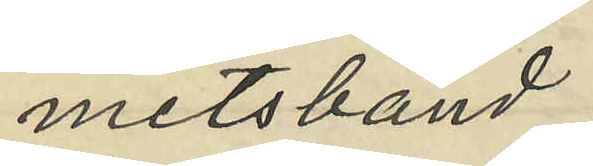metsband;
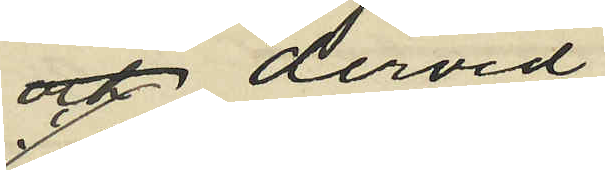 dervid
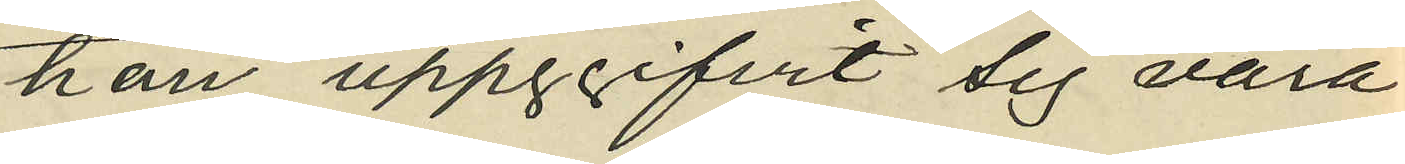han uppgifvit sig vara
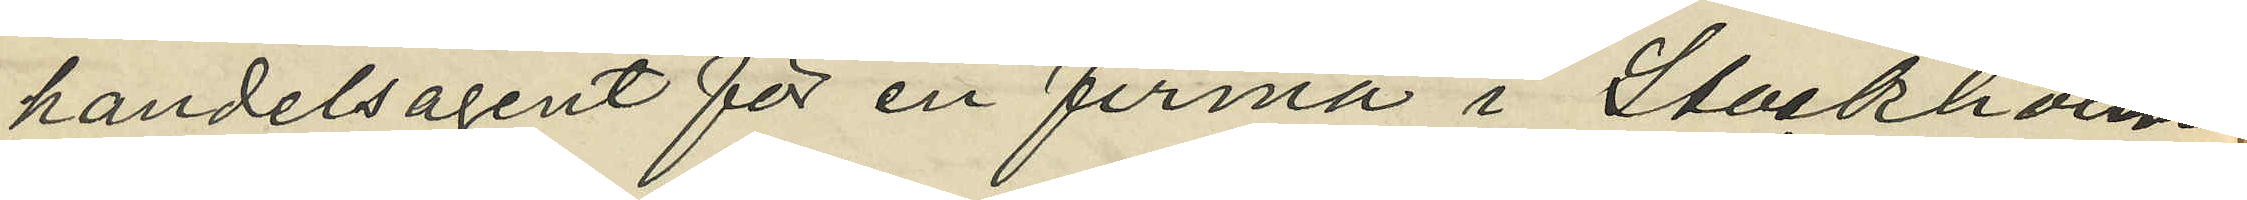handelsagent för en firma i Stockholm,
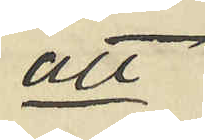att
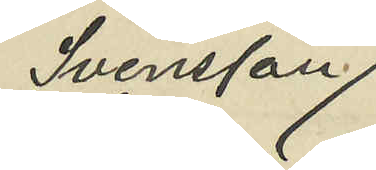Svensson
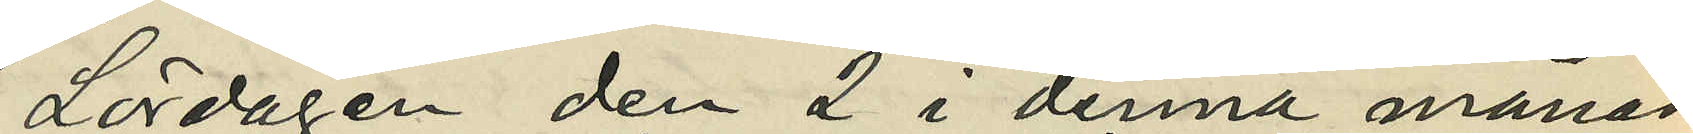Lördagen den 2 i denna månad
